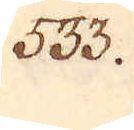533.
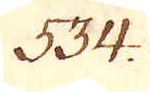534.
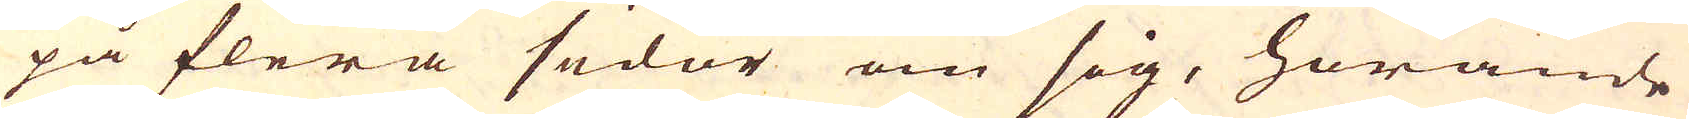på flera sidor om sig, hörande
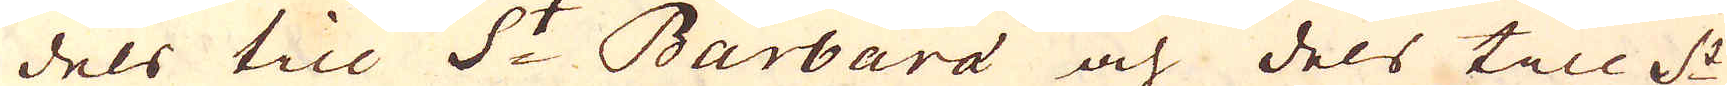dels till S:t Barbara och dels till S:t
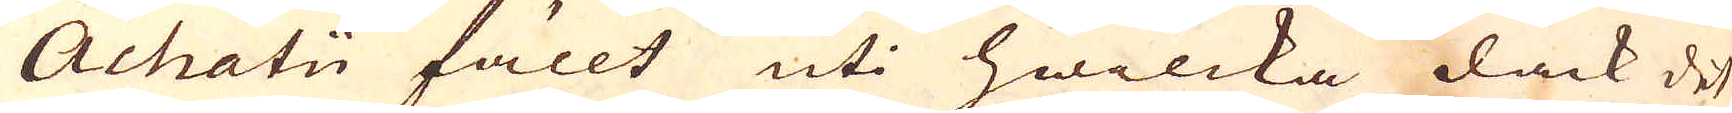Achatii fällt uti hwilcka dåck det
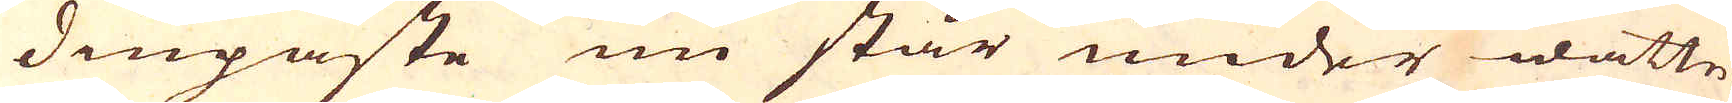diupaste nu står under wattn,
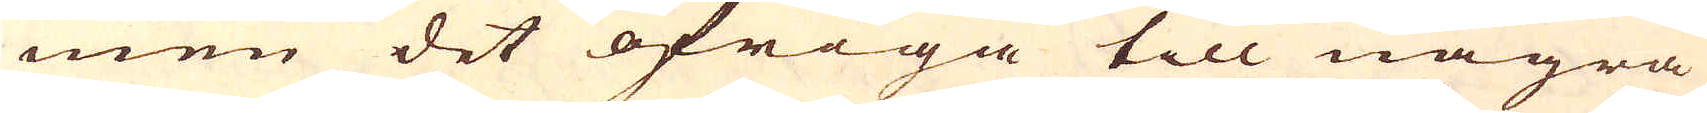men det öfriga till några
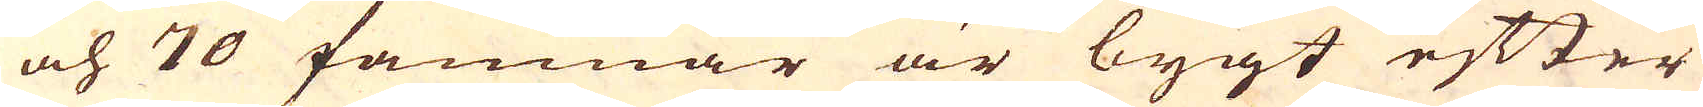och 70 famnar är bygt efter
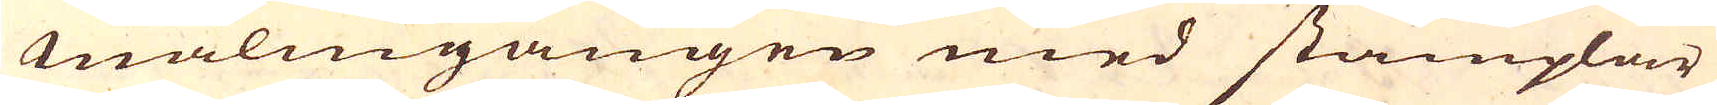malmgången med stämplar
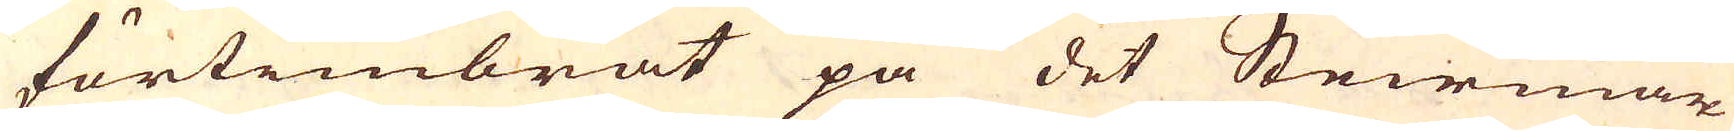förtimbrat på det Steirmar-
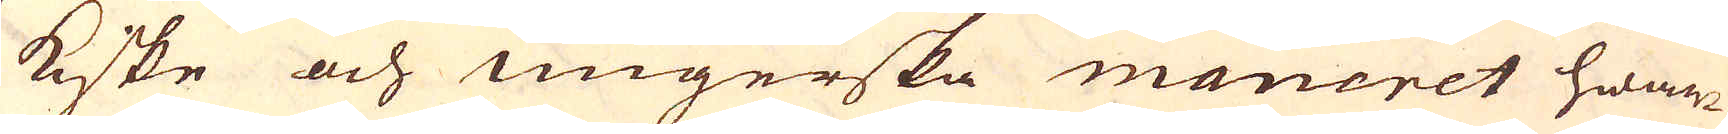kiske och ungerska maneret hwar-
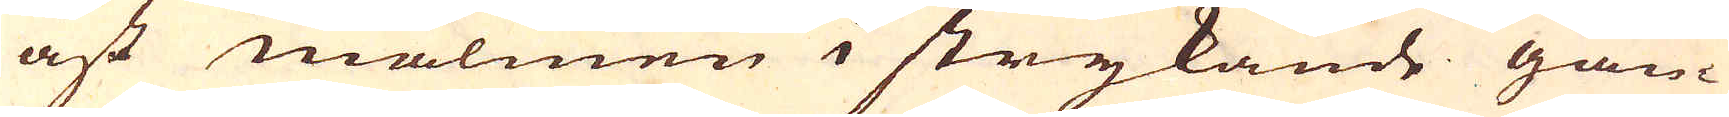äst malmen i strykande gån-
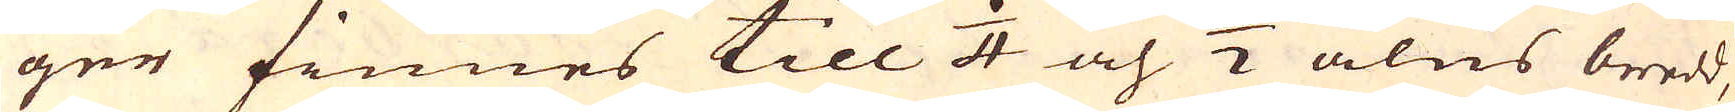ger finnes till 1/4 och 1/2 alns bredd,
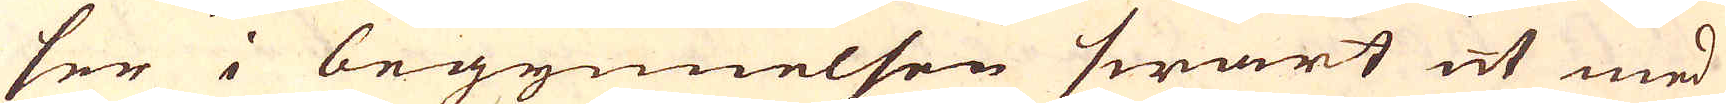ser i begynnelsen swart ut med
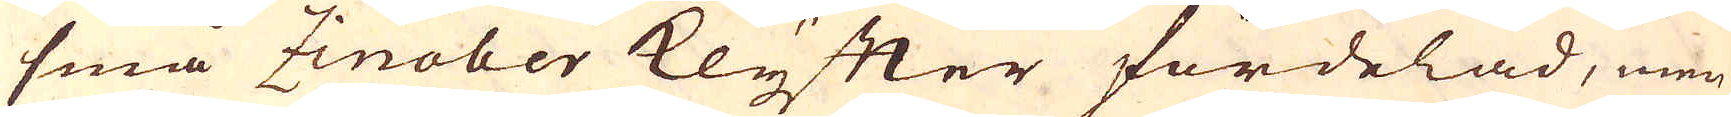små Zinober Klyfter fördelad, men
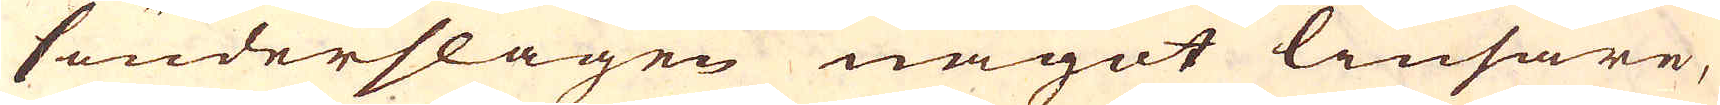sönderslagen något liusare,
